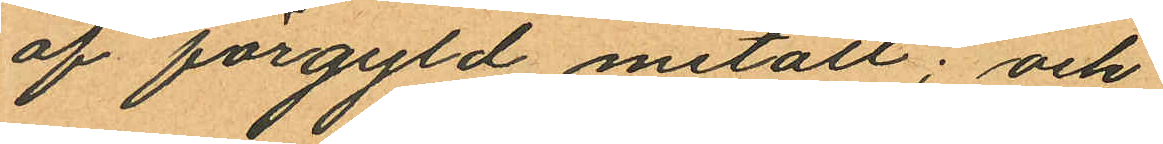af förgyld metall; och
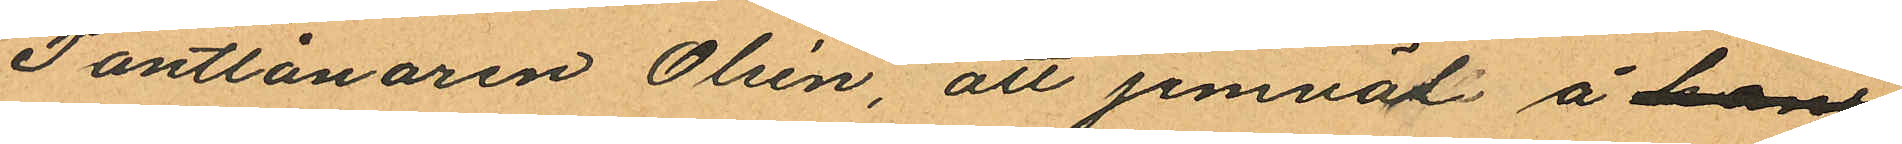Pantlånaren Olsén att jemväl å hans
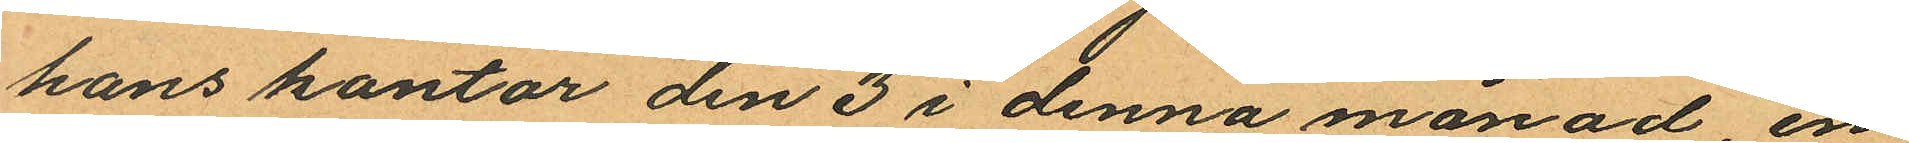hans kontor den 3 i denna månad, en
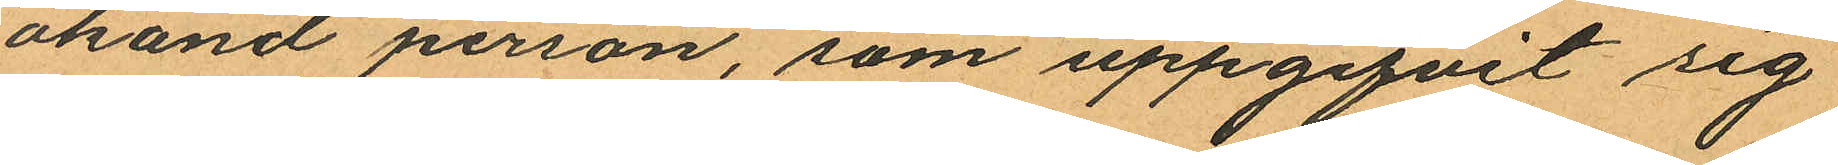okänd person, som uppgifvit sig
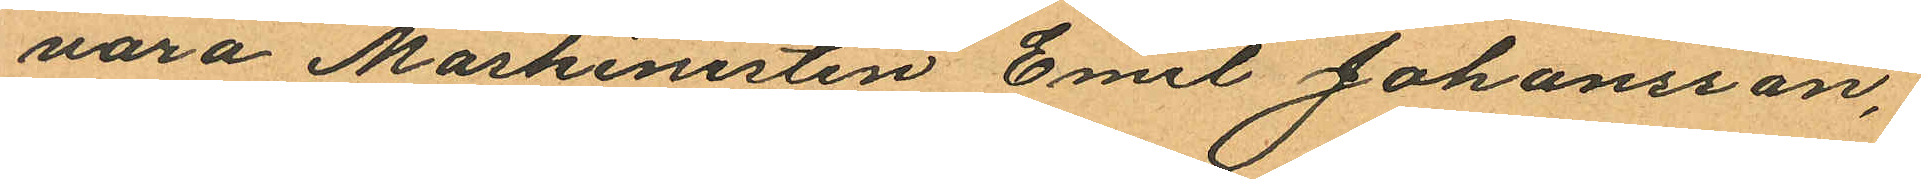vara Maskinisten Emil Johansson,
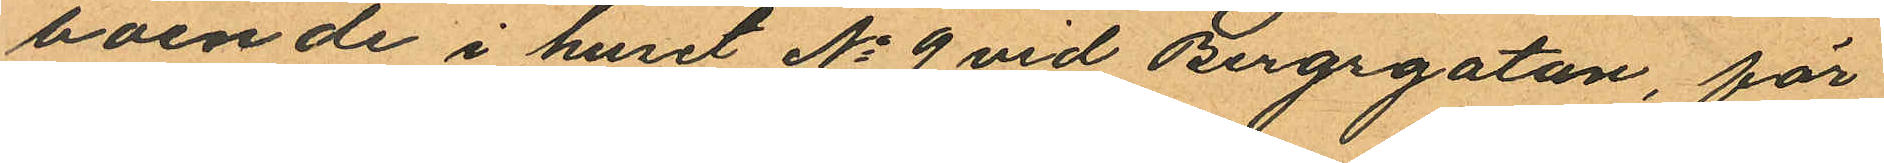boende i huset No 9 vid Bergsgatan, för
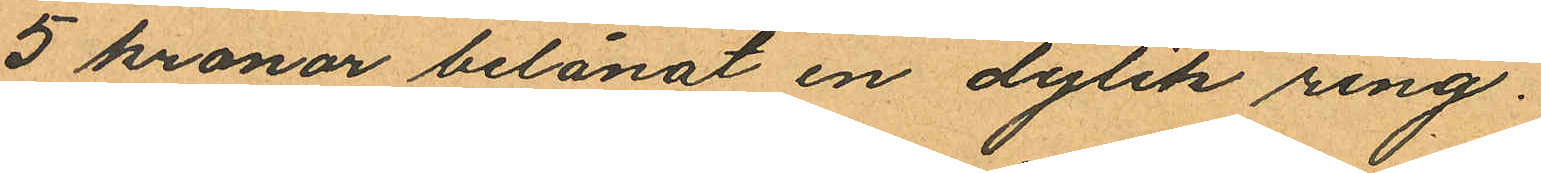5 kronor belånat en dylik ring.
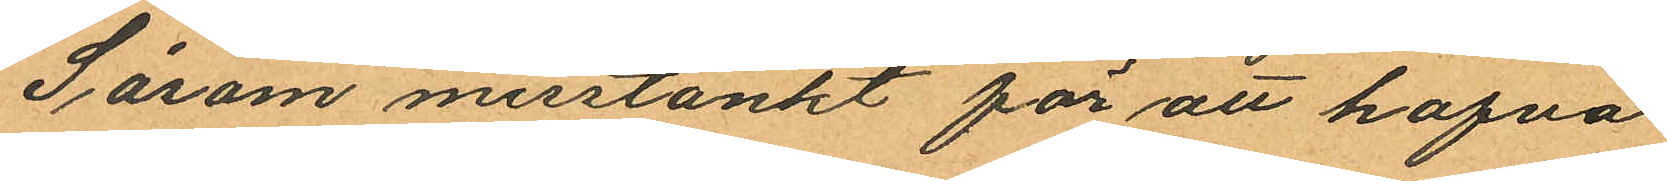Såsom misstänkt för att hafva
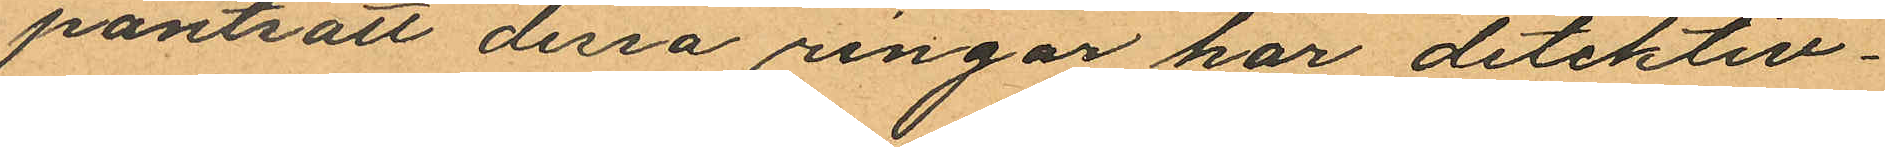pantsatt dessa ringar har detektiv¬
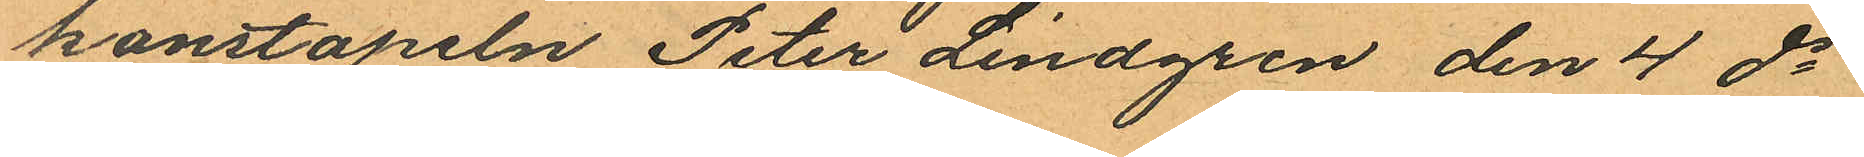konstapeln Peter Lindgren den 4 ds
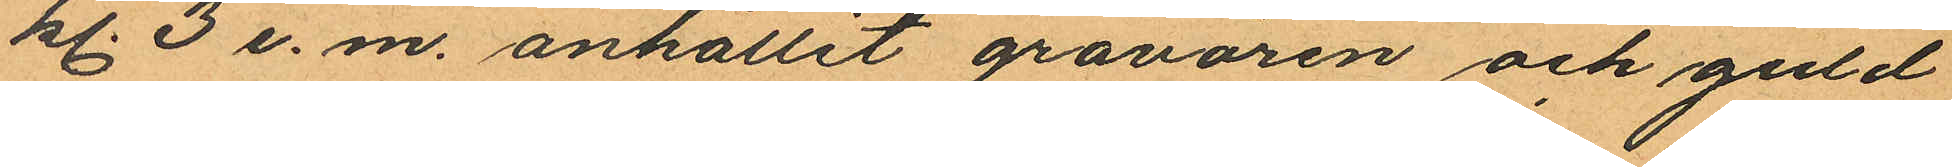kl. 3 e. m. anhållit gravören och guld
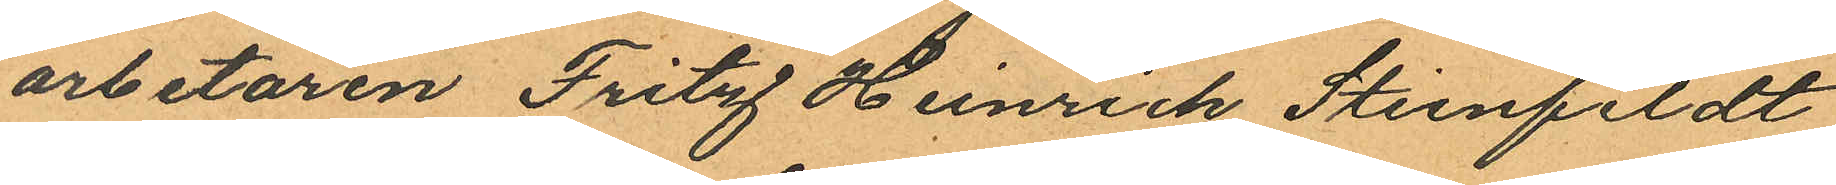arbetaren Fritz Heinrich Stienfeldt
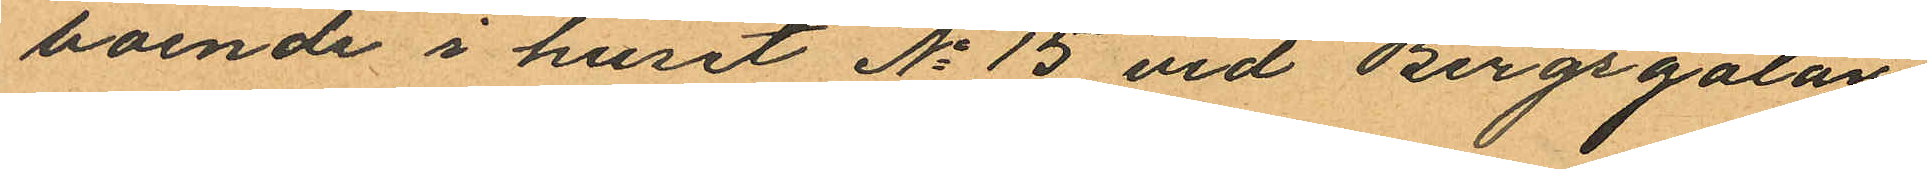boende i huset No 15 vid Bergsgatan,
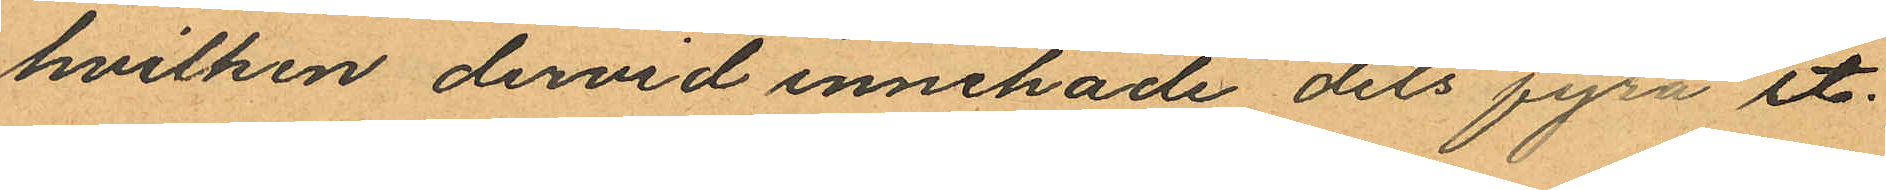hvilken dervid innehade dels fyra st.
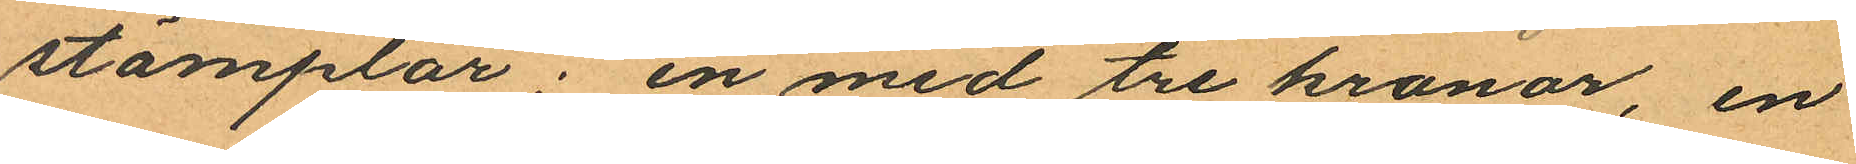stämplar; en med tre kronor, en
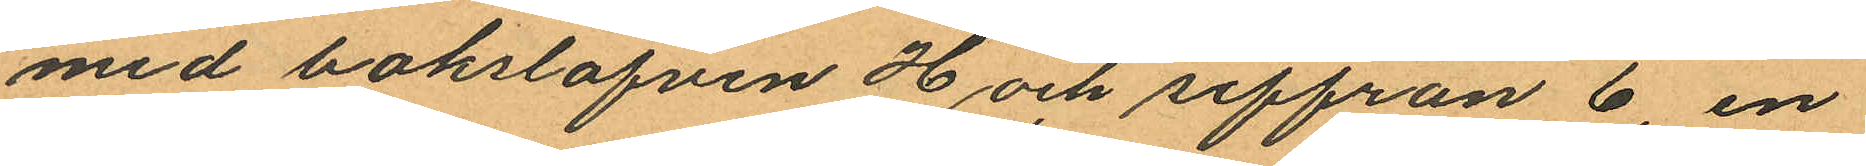med bakslafven H och siffran 6, en
